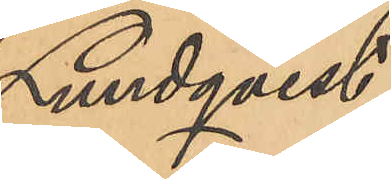Lundqvist
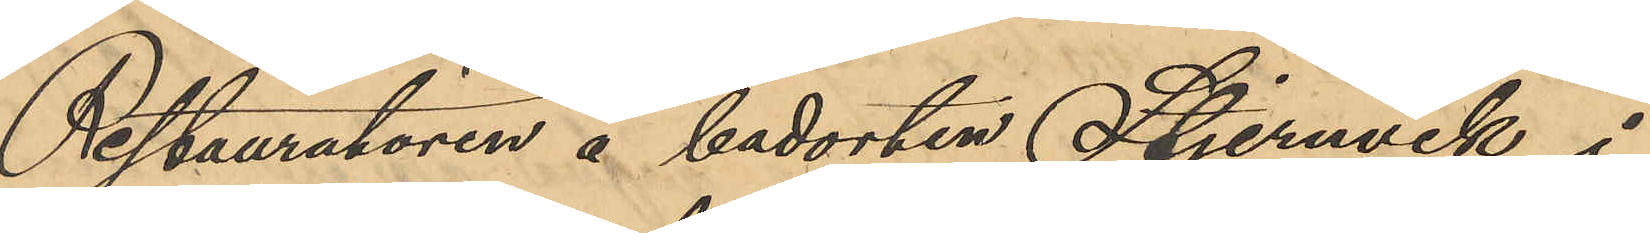Restauratören å badorten Stjernvik i
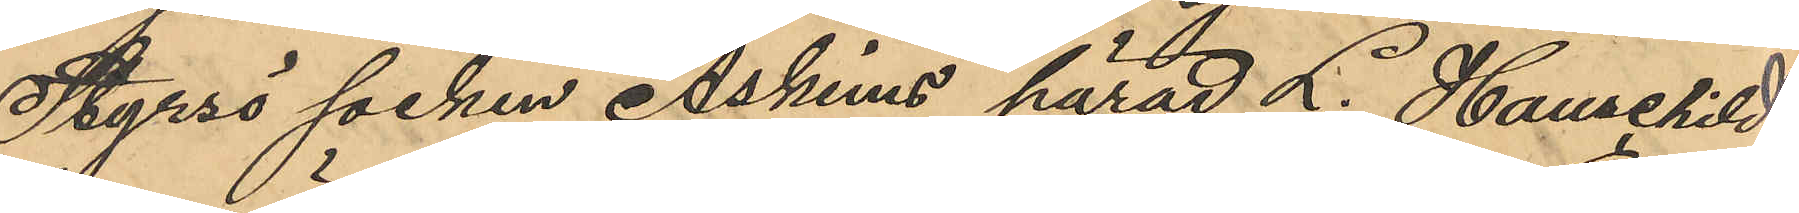Styrsö socken Askims härad L. Hauschild
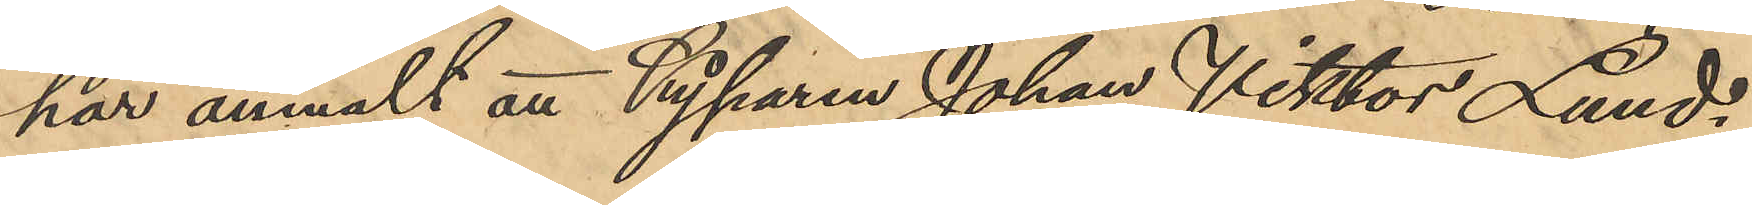har anmält att Kyparen Johan Viktor Lund¬
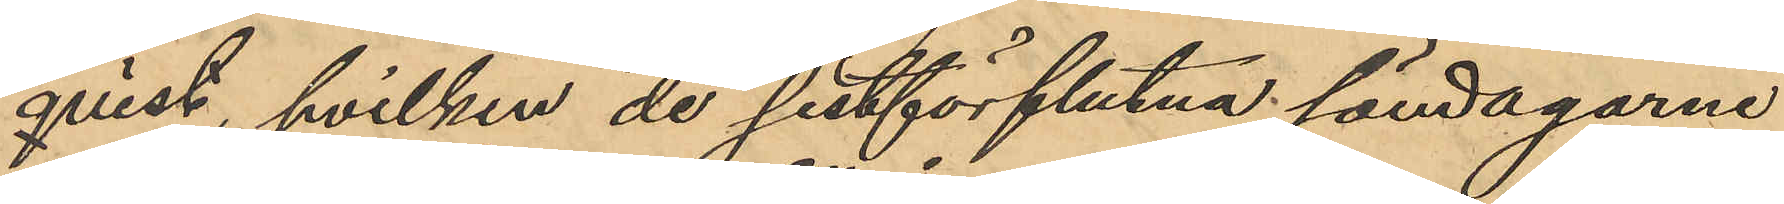qvist, hvilken de sistförflutna söndagarne
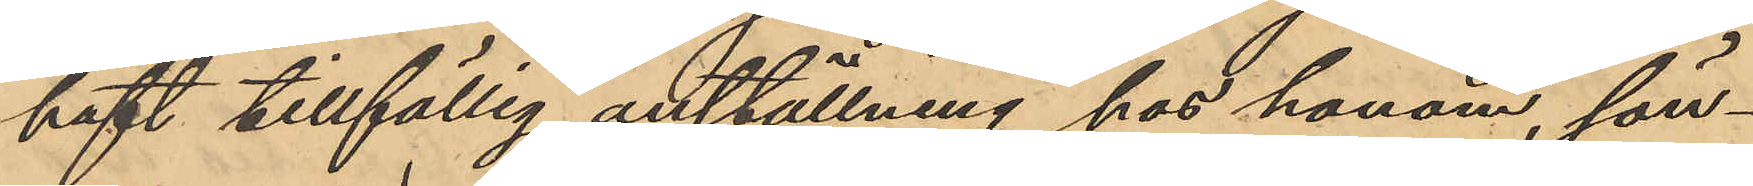haft tillfällig anställning hos honom, sön¬
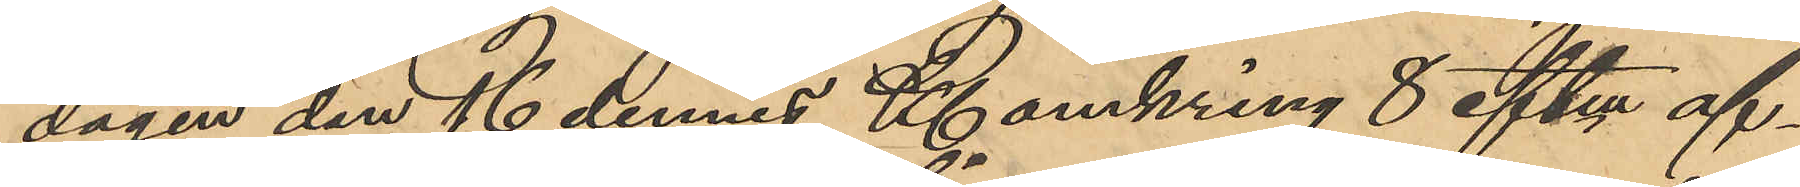dagen den 16 dennes Kl omkring 8 eftm af¬
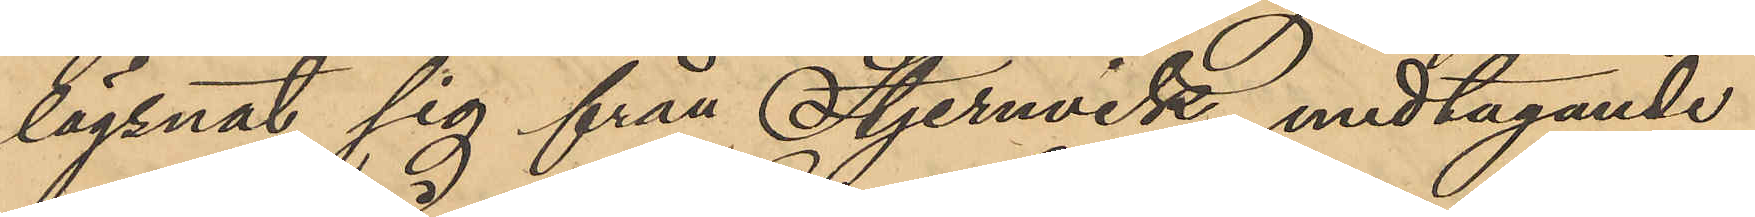lägsnat sig från Stjernvik, medtagande
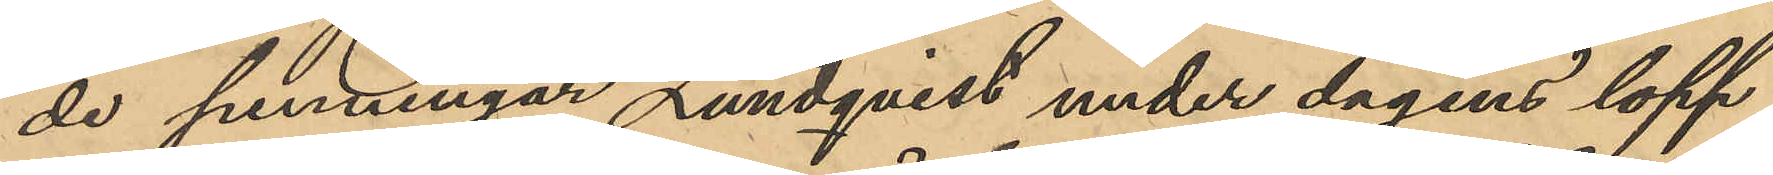de penningar Lundqvist under dagens lopp
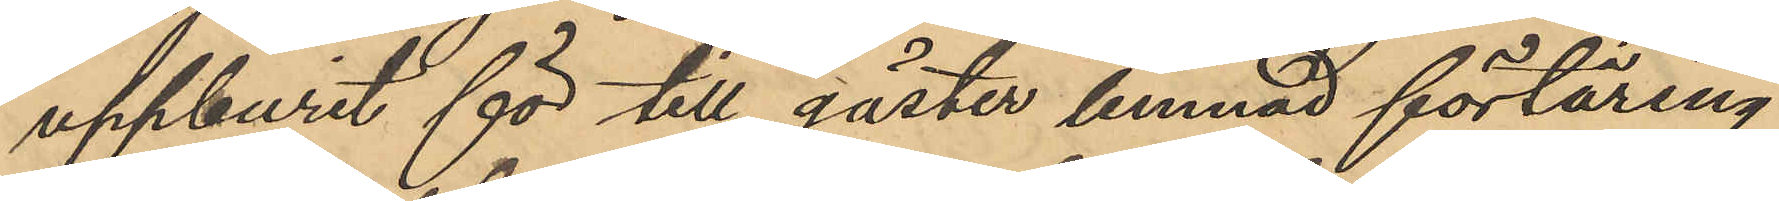uppburit för till gäster lemnad förtäring
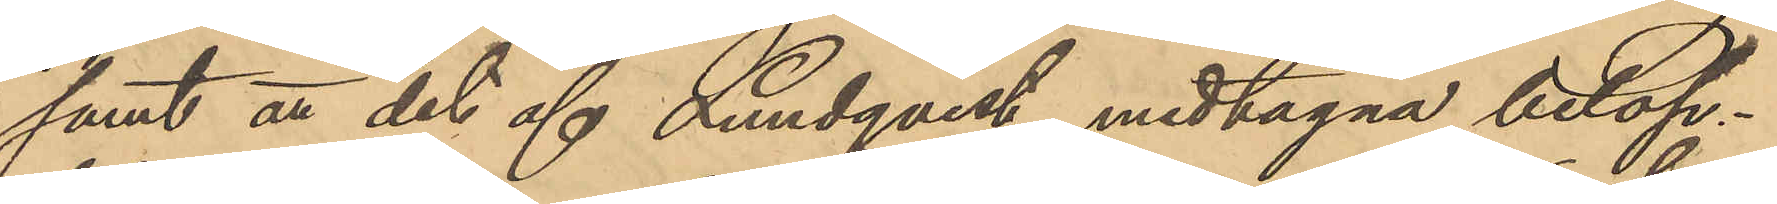samt att det af Lundqvist medtagna belop¬
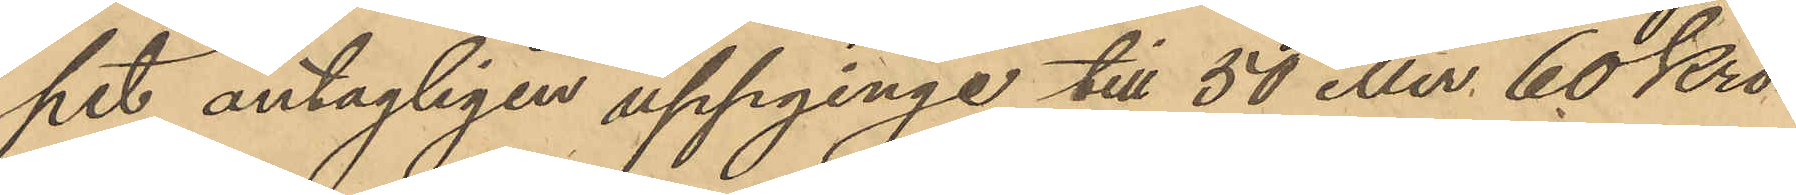pet antagligen uppginge till 50 eller 60 Kro¬
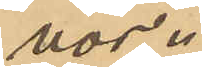nor.
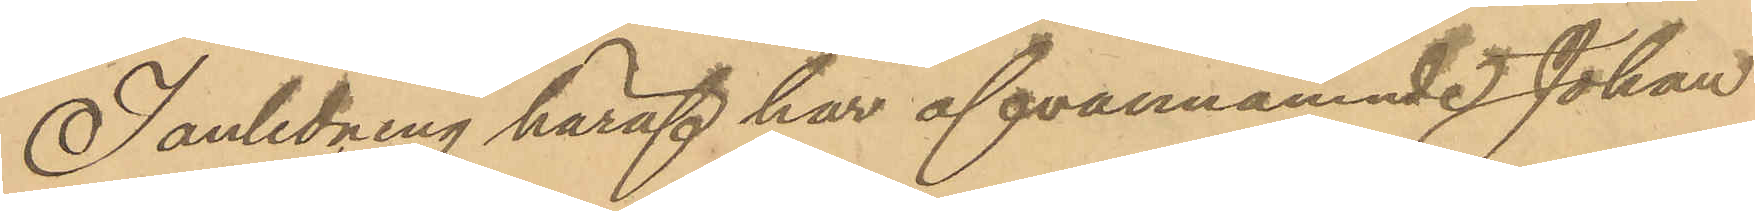I anledning häraf har ofvannämnde Johan
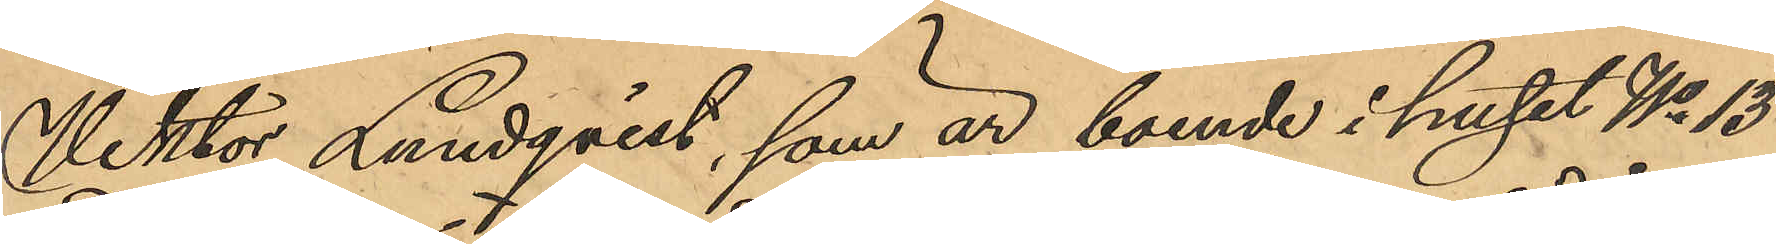Viktor Lundqvist, som är boende i huset No 13
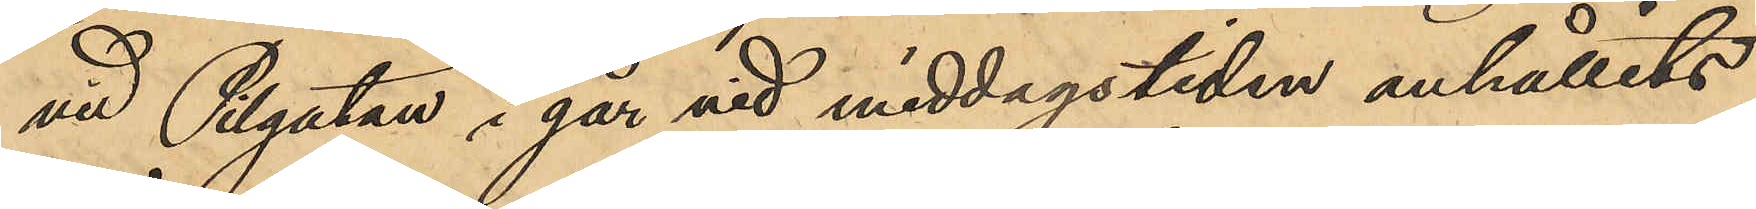vid Pilgatan i går vid middagstiden anhållits
